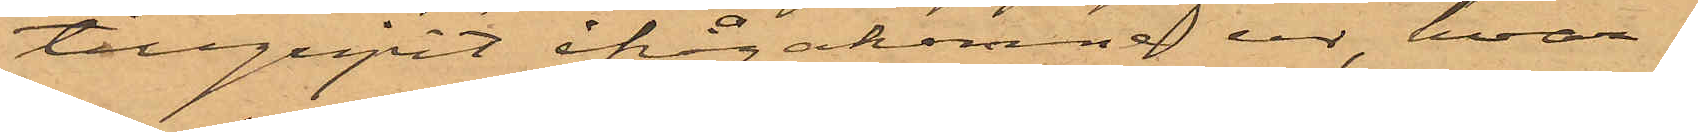tillgripit ifrågakomne ur, hvar¬
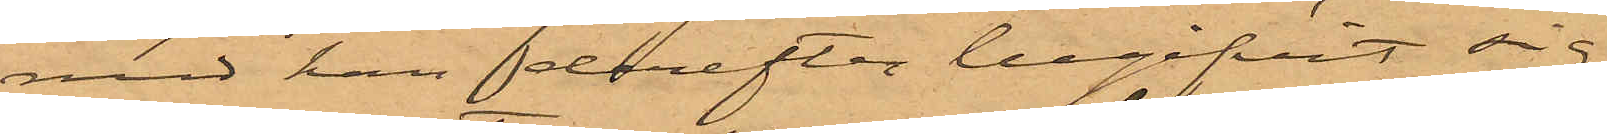med han derefter begifvit sig
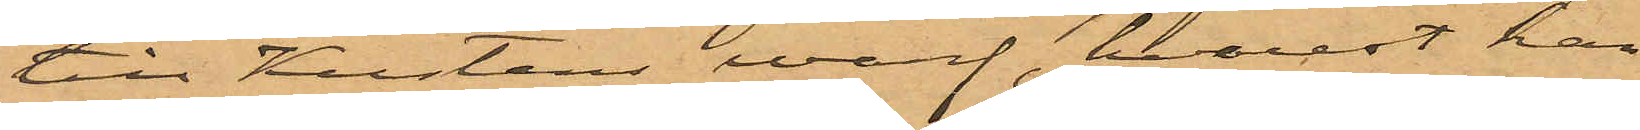till Kustens warf, hvarest han
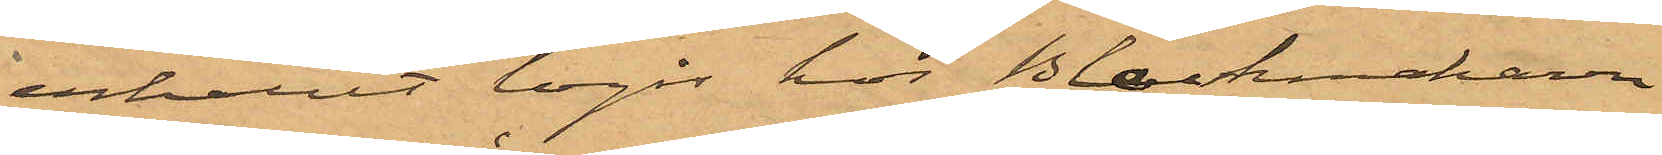erhållit logi hos Blockmakaren
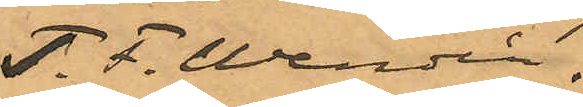T.F. Wendin.
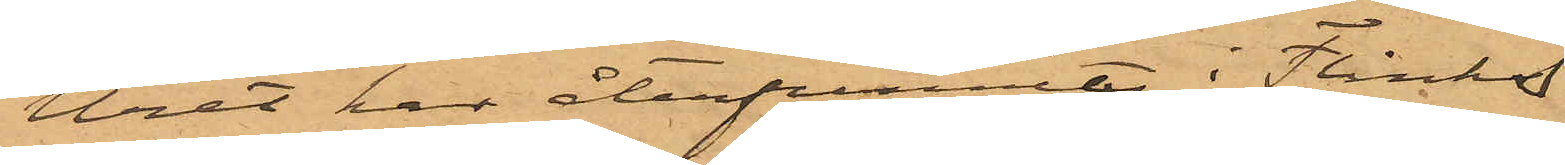Uret har återfunnits i Flinks
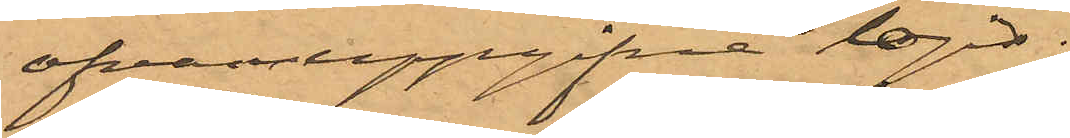ofvanuppgifna logi.
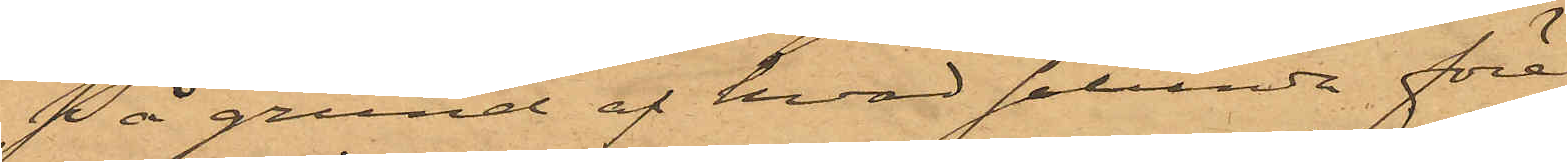På grund af hvad sålunda före¬
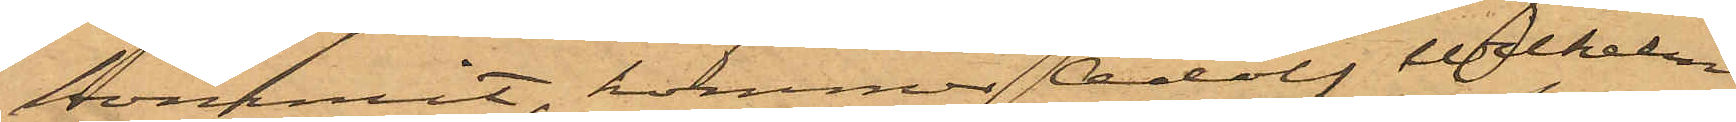kommit, kommer Adolf Vilhelm
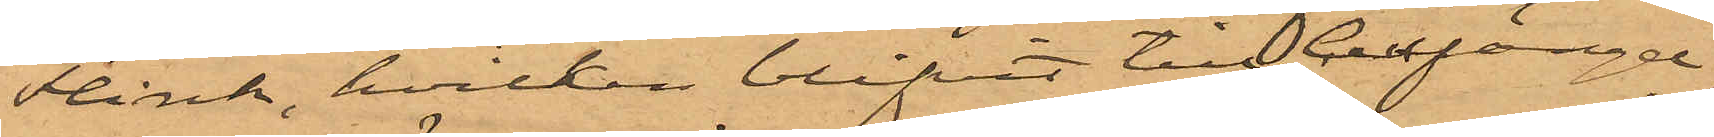Flink, hvilken blifvit till Cellfängel¬
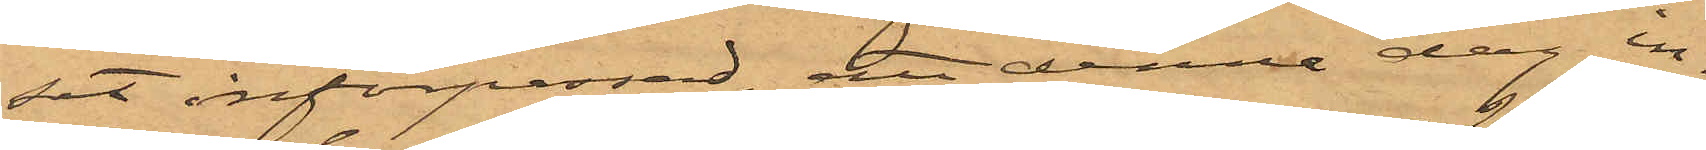set införpassad, att denna dag in¬
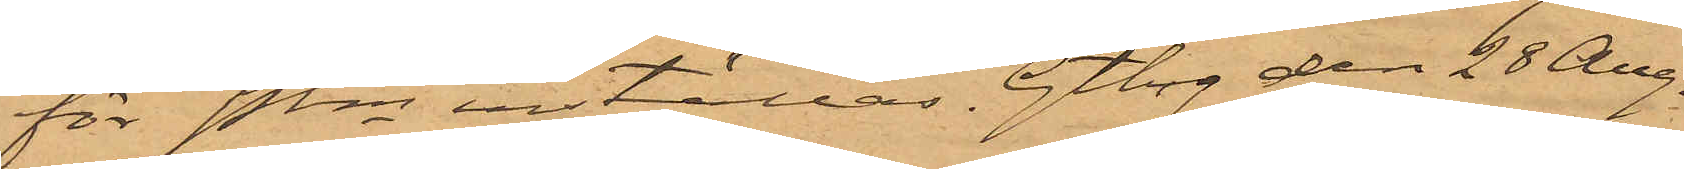för Pkn inställas. Gtbg den 28 Aug.
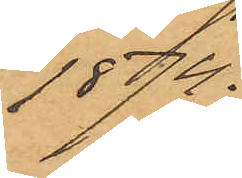1874.
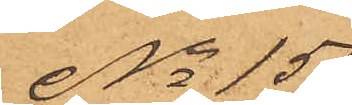No 159
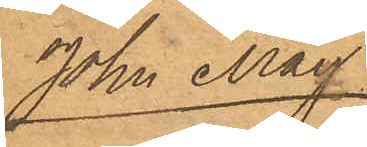John May
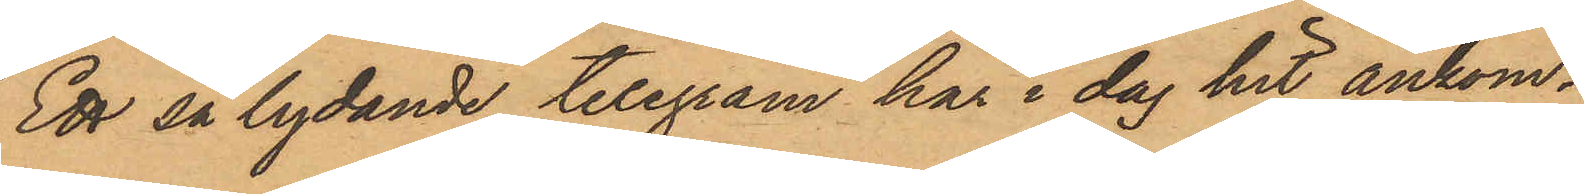Ett så lydande telegram har i dag hit ankom¬
